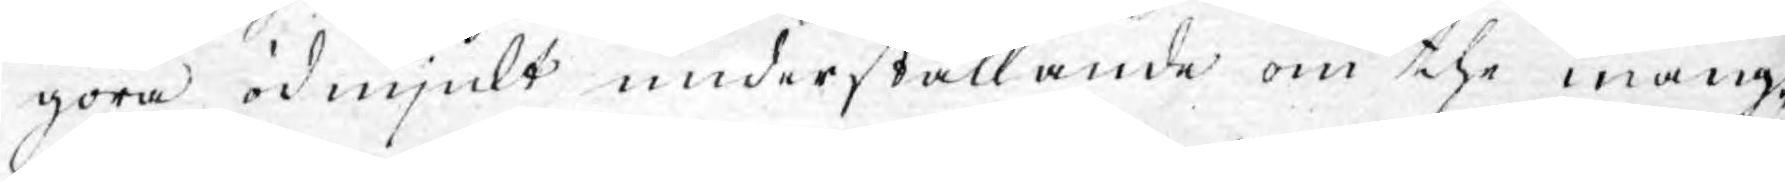göra ödmjukt underställande om the mång¬
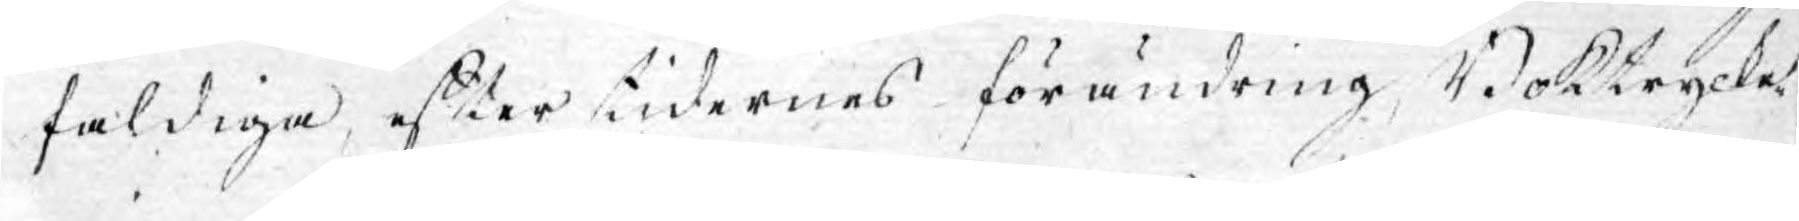faldiga, efter tidernes förändring, Boktrycke¬
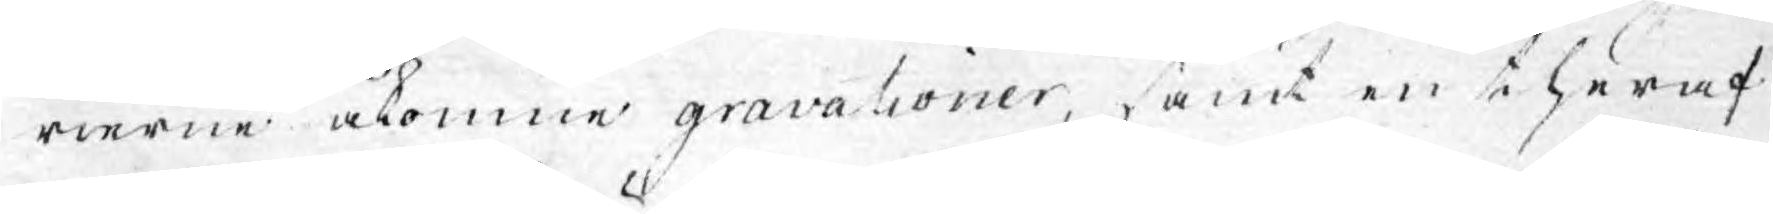rierne åkomne gravationer, samt en theraf
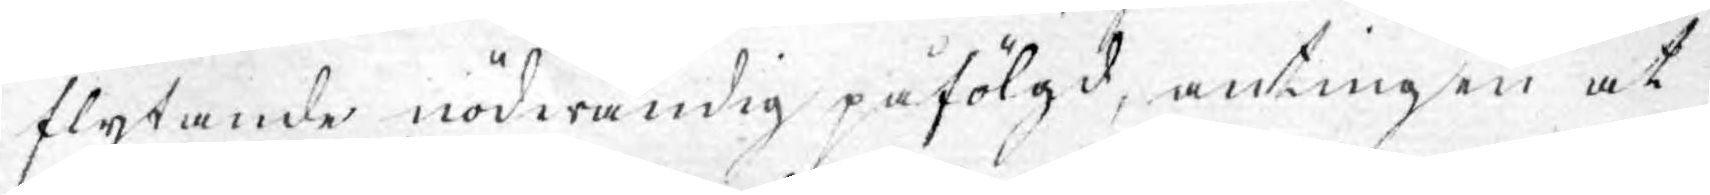flytande nödwändig påfölgd, antingen at
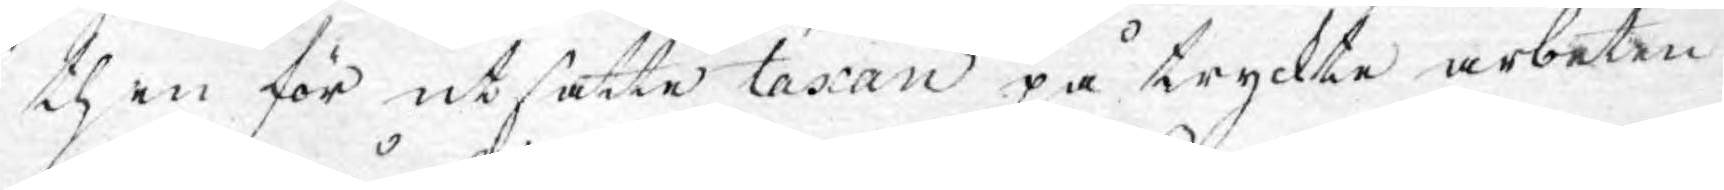then för utsatte taxan på tryckte arbeten
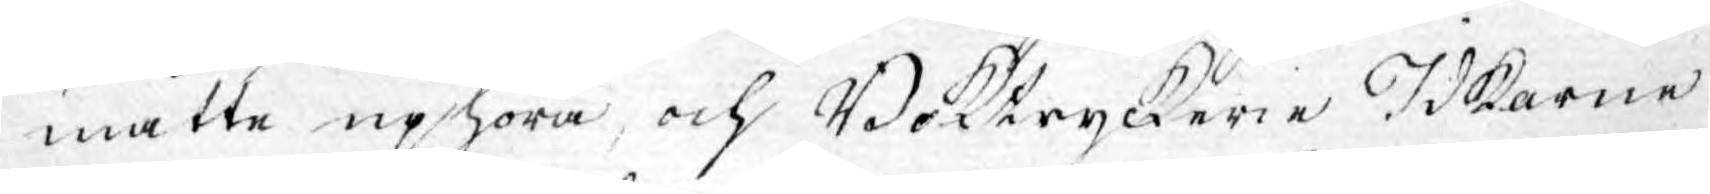måtte uphöra och Boktryckerie Idkarne
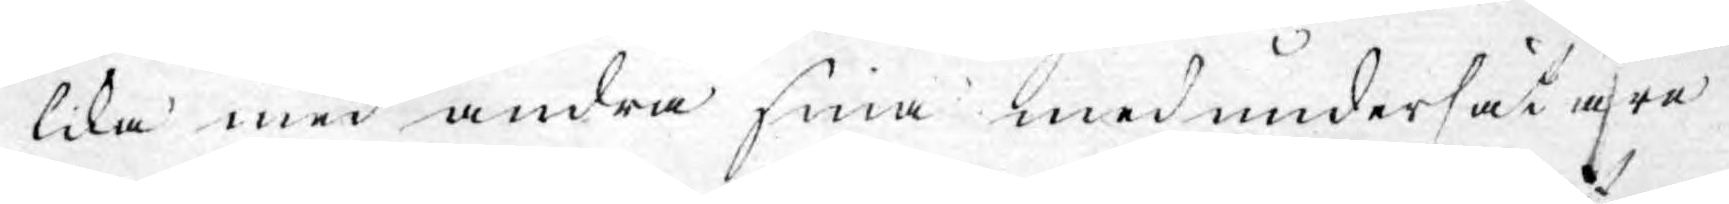lika med andra fria medundersåtare
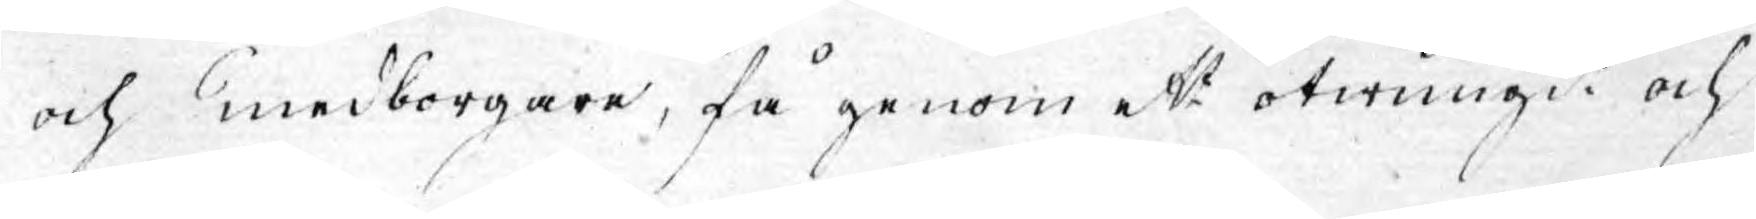och medborgare, få genom ett twungit och
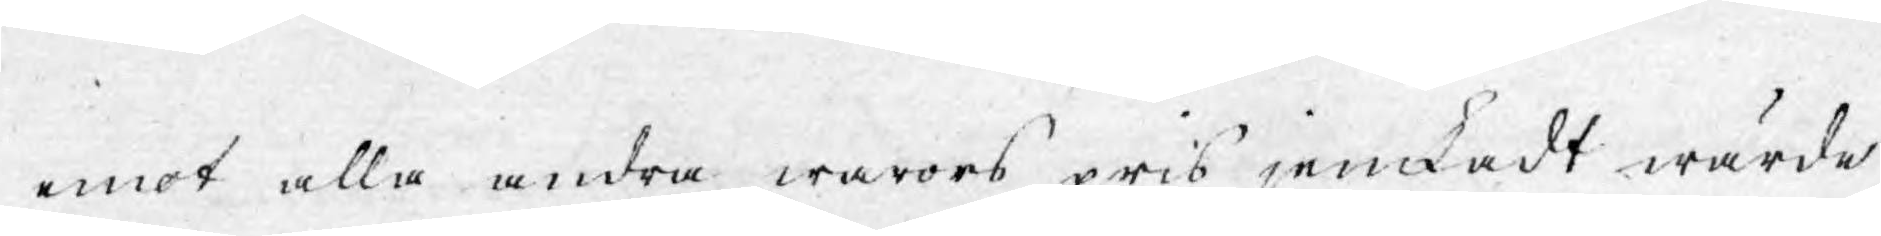emot alla andra warors pris jemkadt wärde
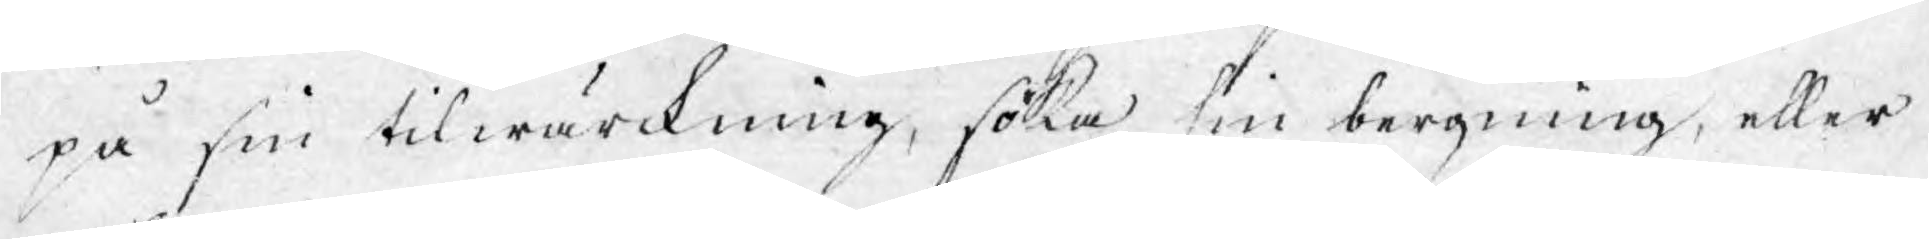på sin tilwärckning, söka sin bergning, eller
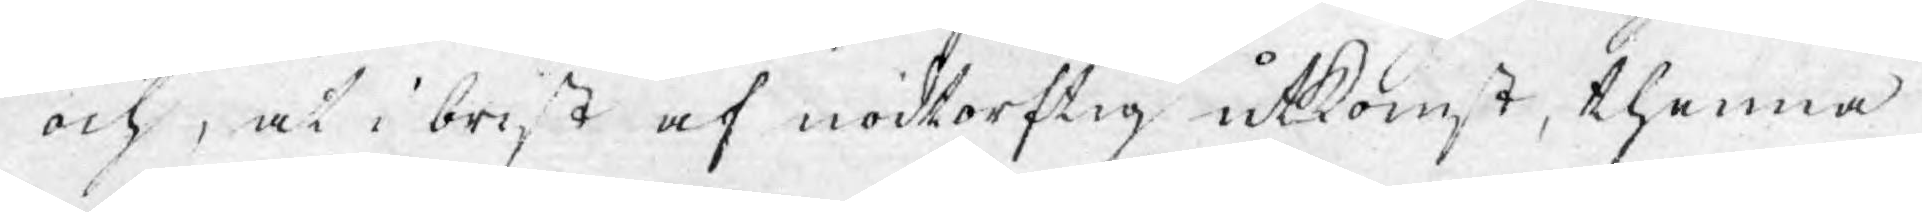och, at i brist af nödtorftig utkomst, thenna
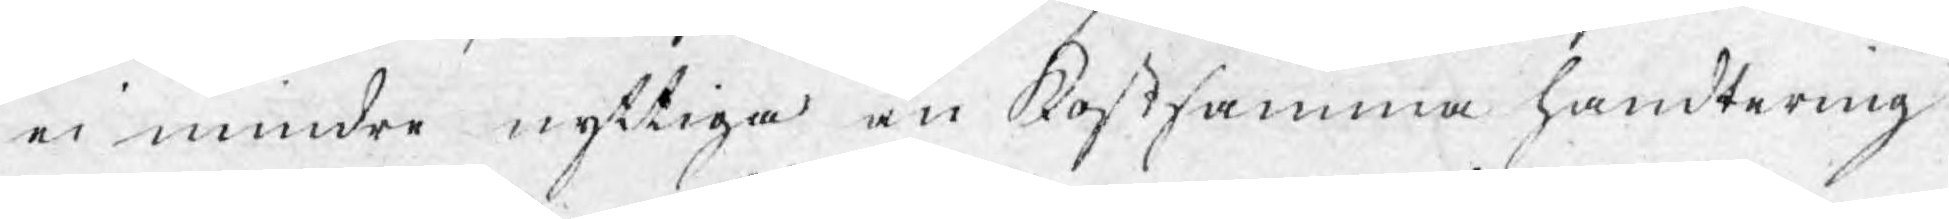ei mindre nyttiga än kostsamma handtering
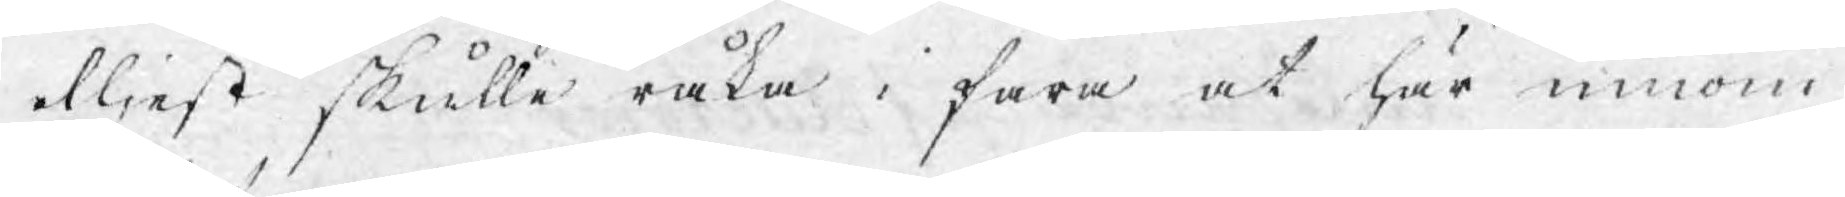eljest skulle råka i fara at här innom
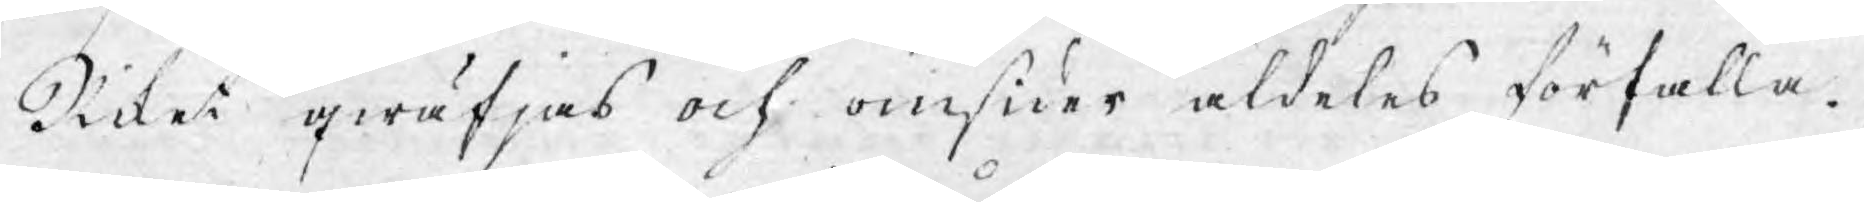Riket qwäfjas och omsider aldeles förfalla.
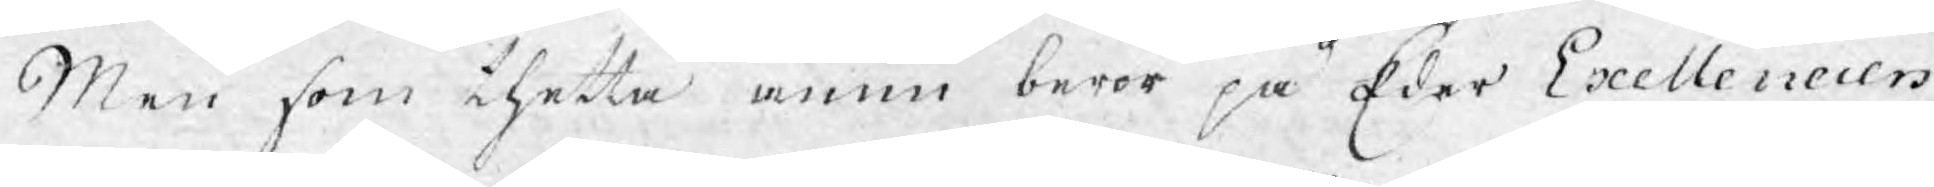Men som thetta ännu beror på Eder Exellencers
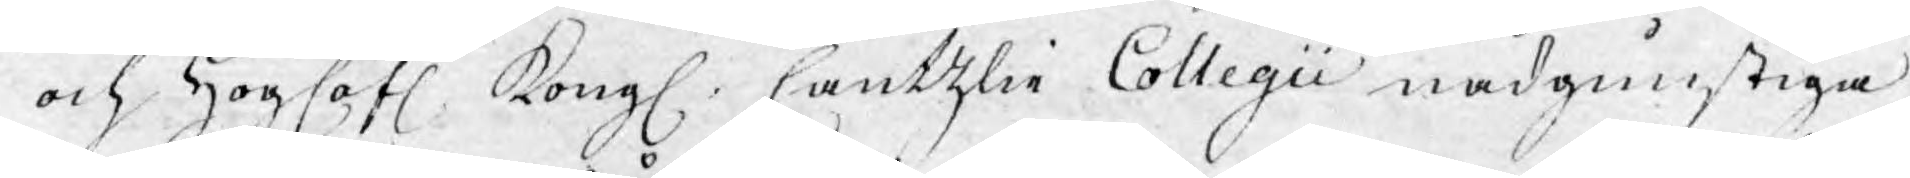och Höglofl. Kongl. Cantzlie Collegii nådgunstiga
